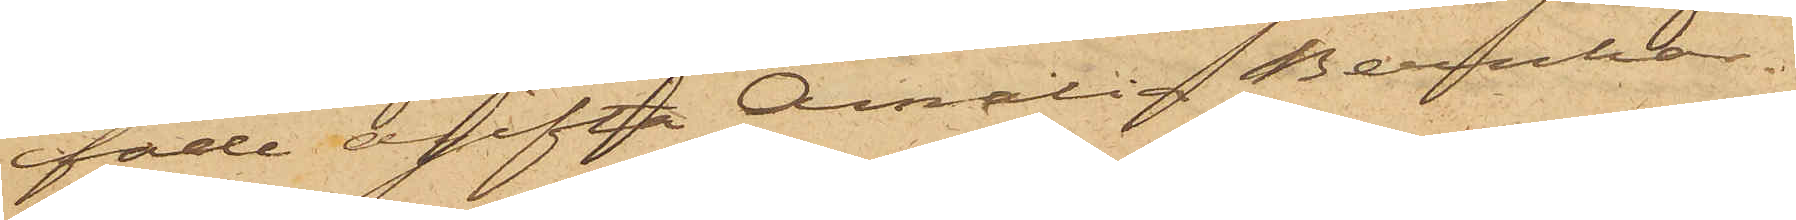fade ogifta Amalia Bernhar¬
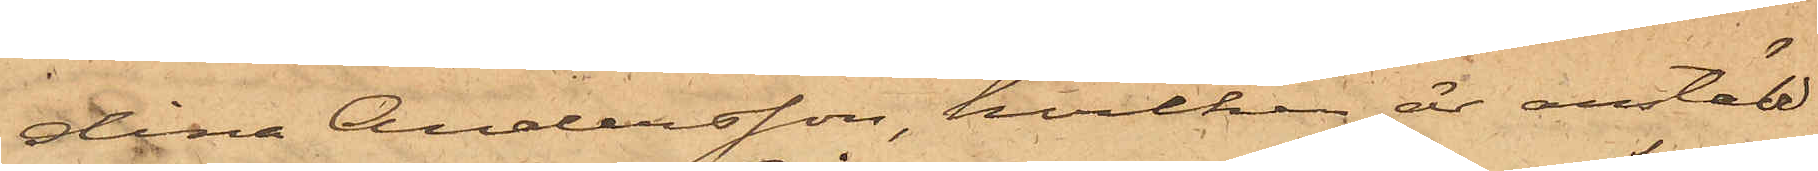dina Andersson, hvilken är anstäld
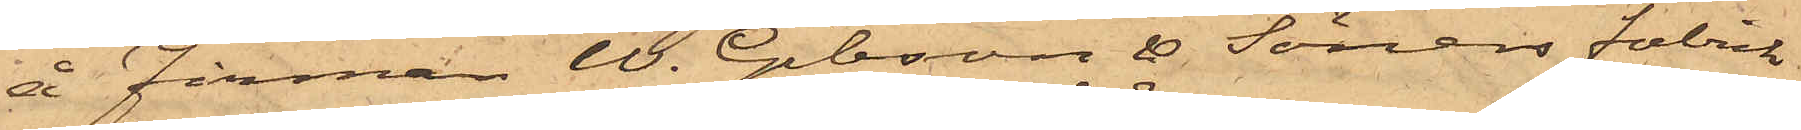å Firman W. Gibson & Söners Fabrik
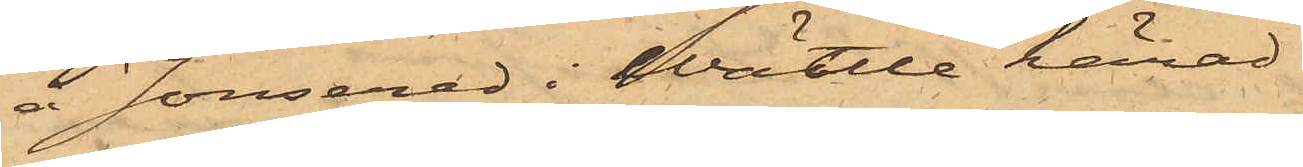å Jonsered i Wättle härad.
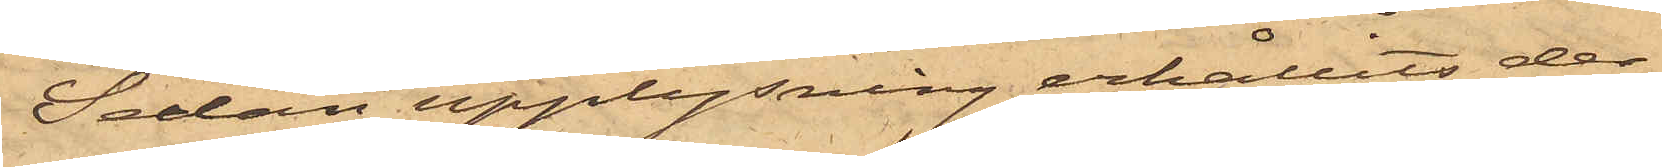Sedan upplysning erhållits der¬
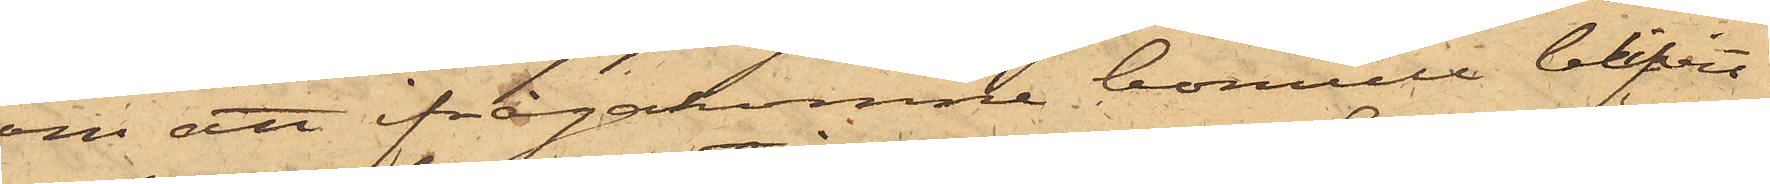om att ifrågakomne bomull blifvit
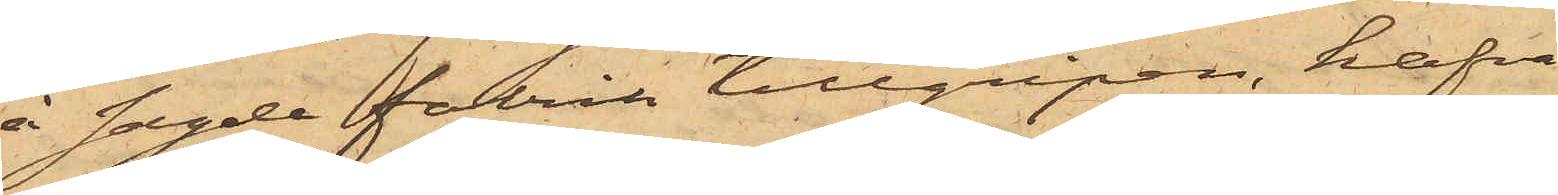å sagde fabrik tillgripen, hafva
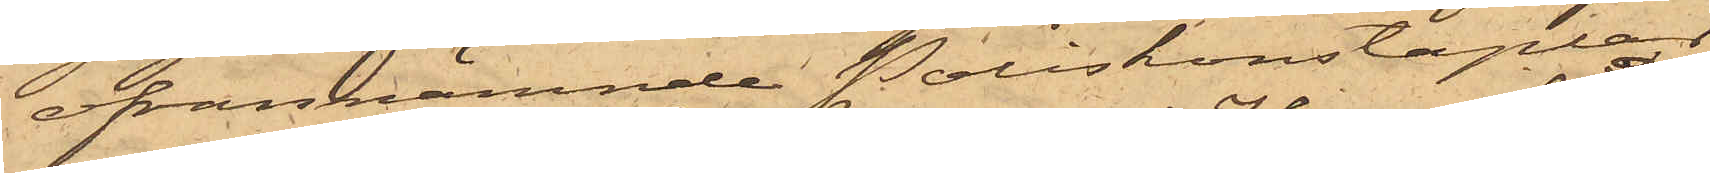ofvannämnde Poliskonstaplar
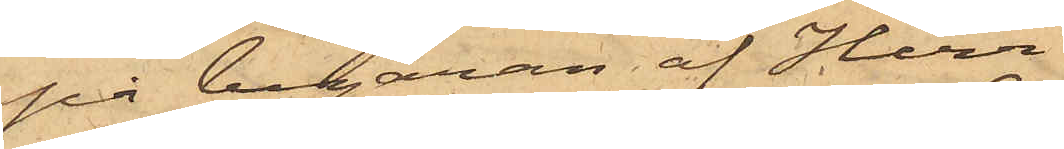på begäran af Herr
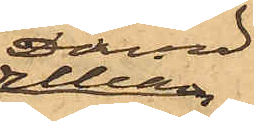David
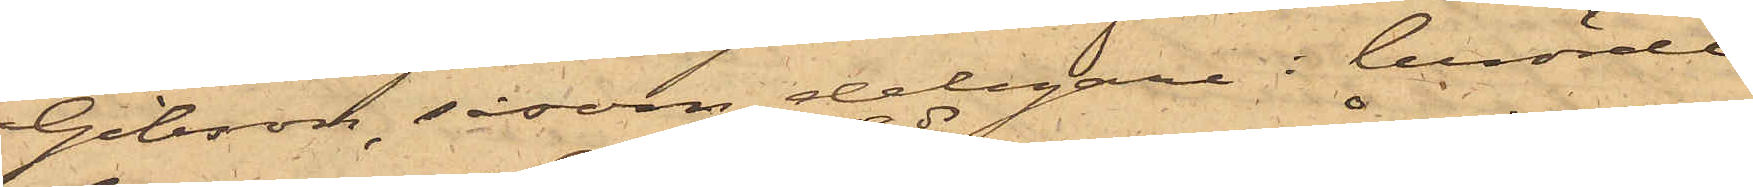Gibson, såsom delegare i berörde
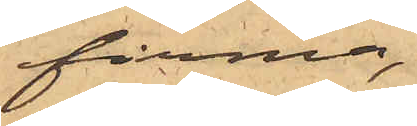firma,
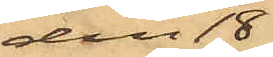den 18 ds
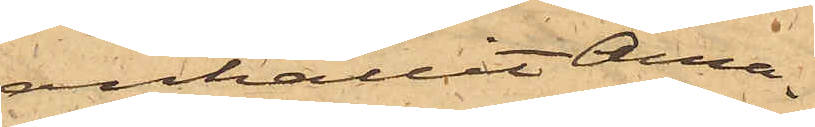anhållit Ama¬
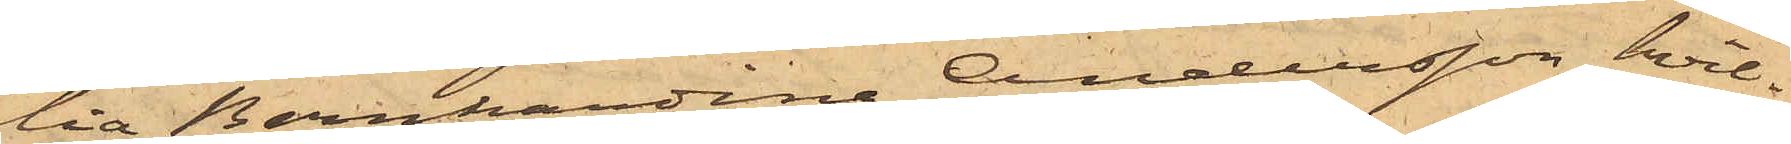lia Bernhardina Andersson, hvil¬
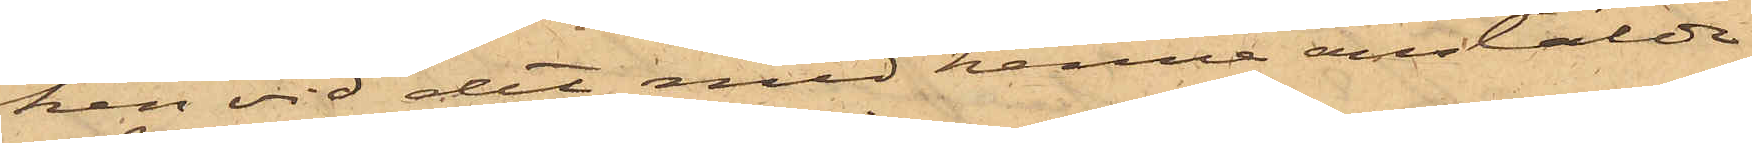ken vid det med henne anstälde
